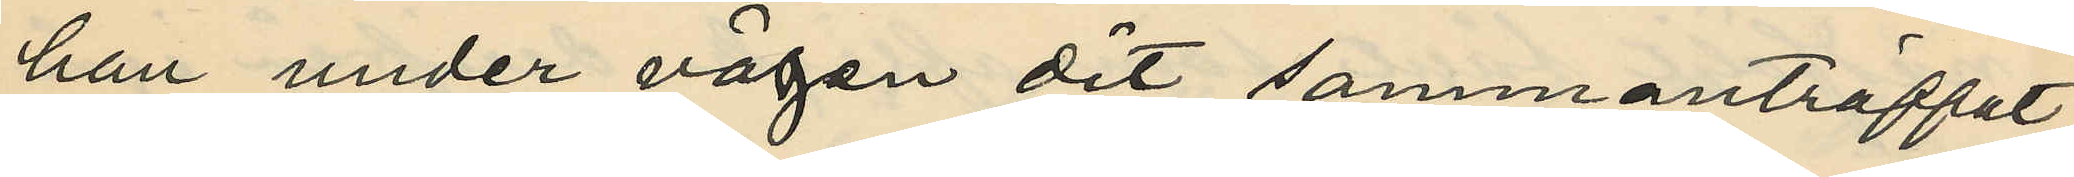han under vägen dit sammanträffat
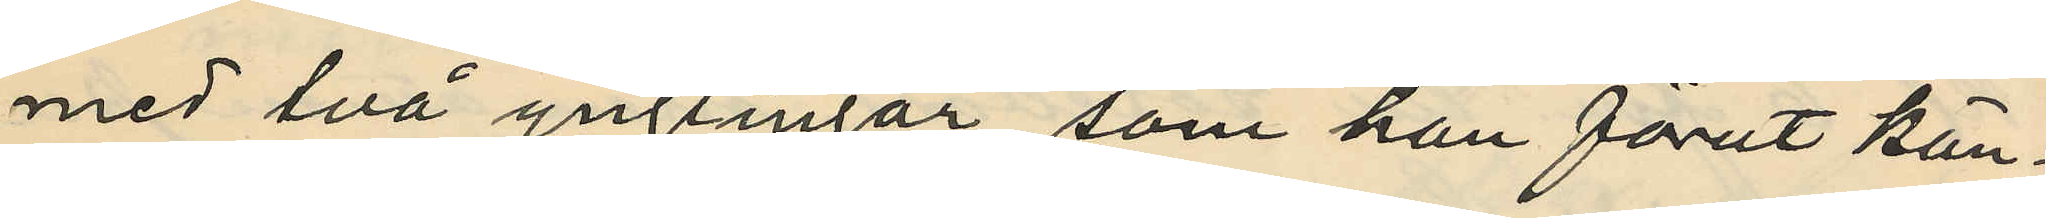med två ynglingar, som han förut kän¬
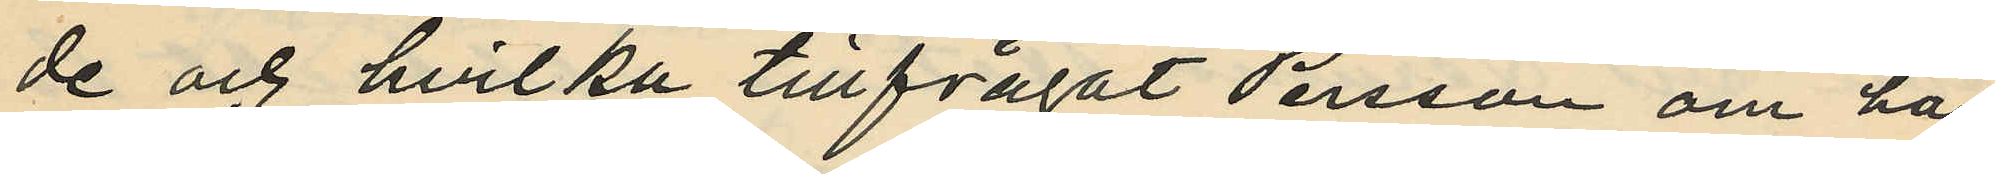de och hvilka tillfrågat Persson om han
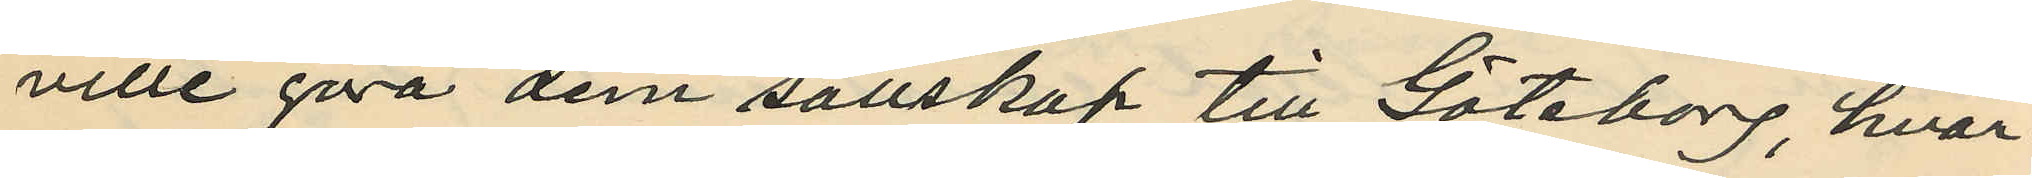ville göra dem sällskap till Göteborg, hvar¬
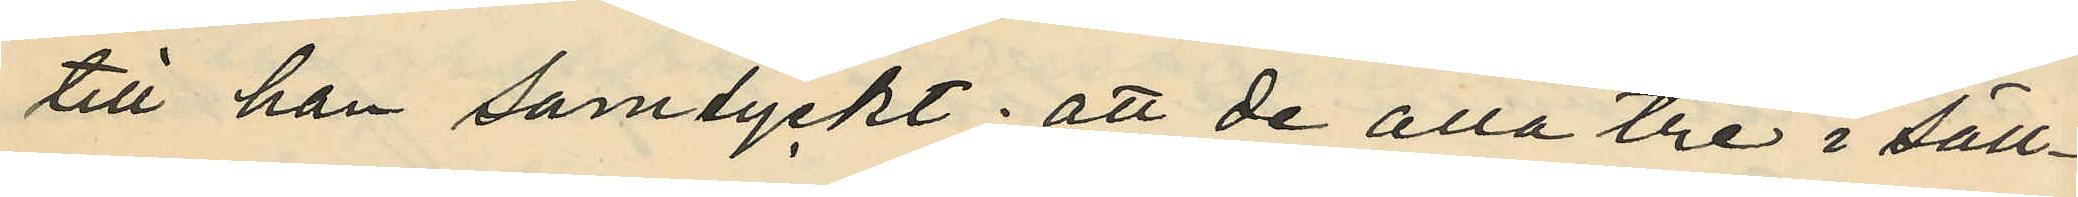till han samtyckt; att de alla tre i säll¬
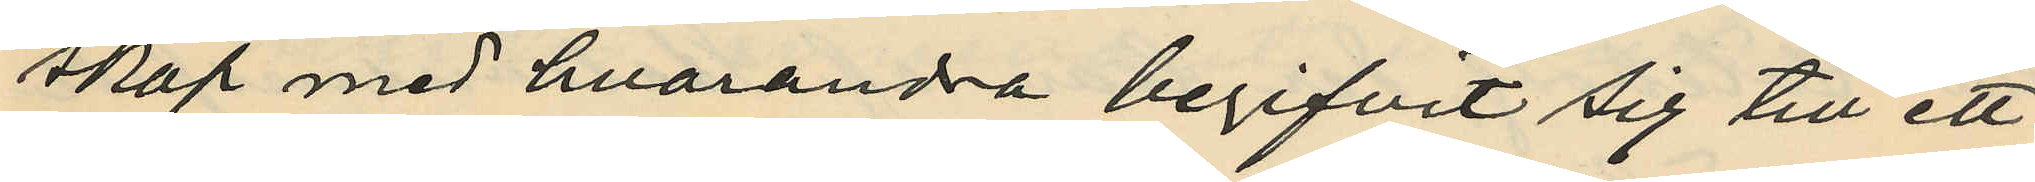skap med hvarandra begifvit sig till ett
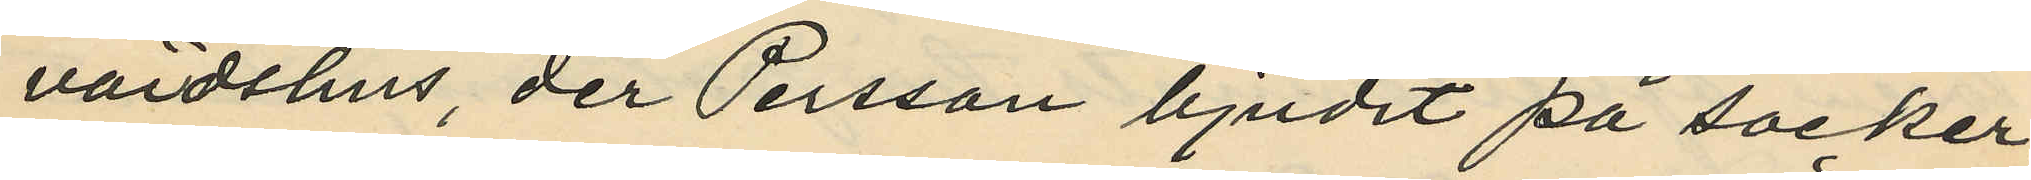värdshus, der Persson bjudit på socker¬
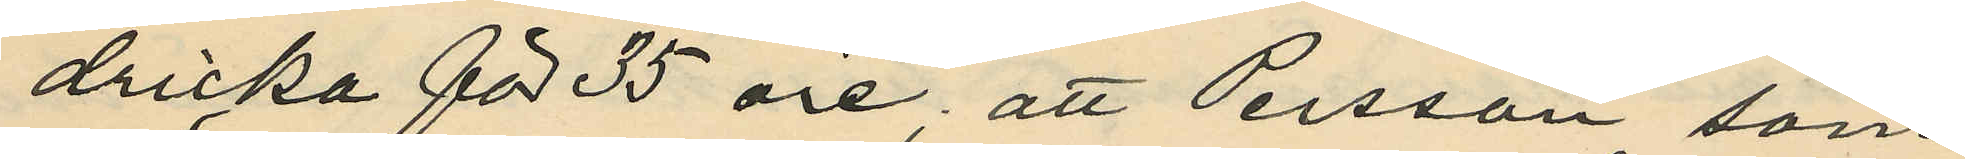dricka för 35 öre; att Persson, som
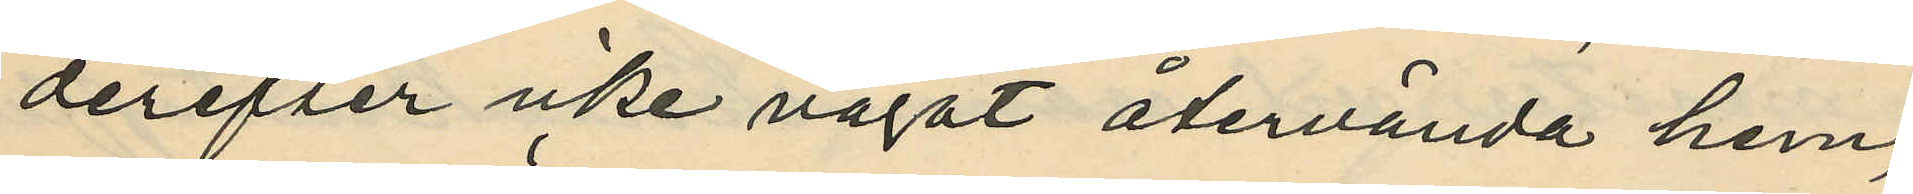derefter icke vågat återvända hem,
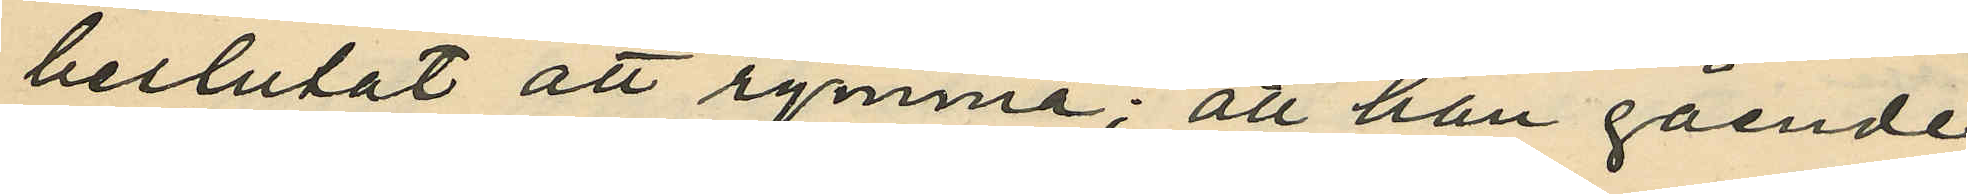beslutat att rymma; att han gående
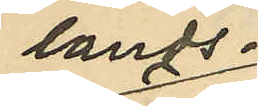lands¬
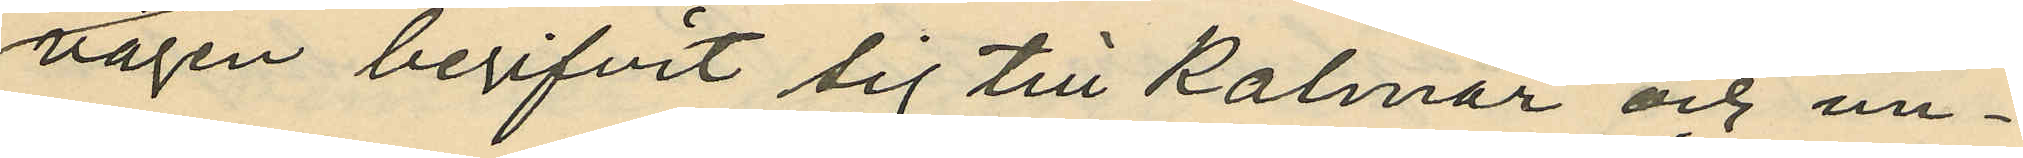vägen begifvit sig till Kalmar och un¬
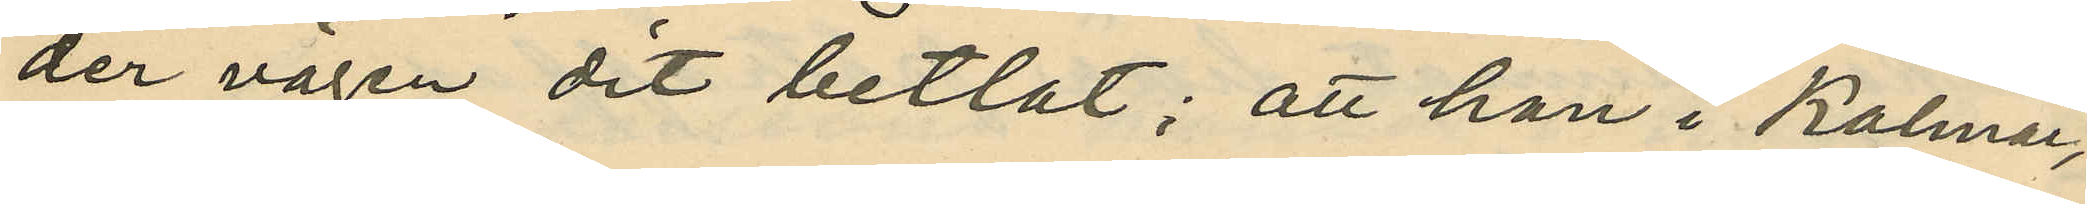der vägen dit betlat; att han i Kalmar,
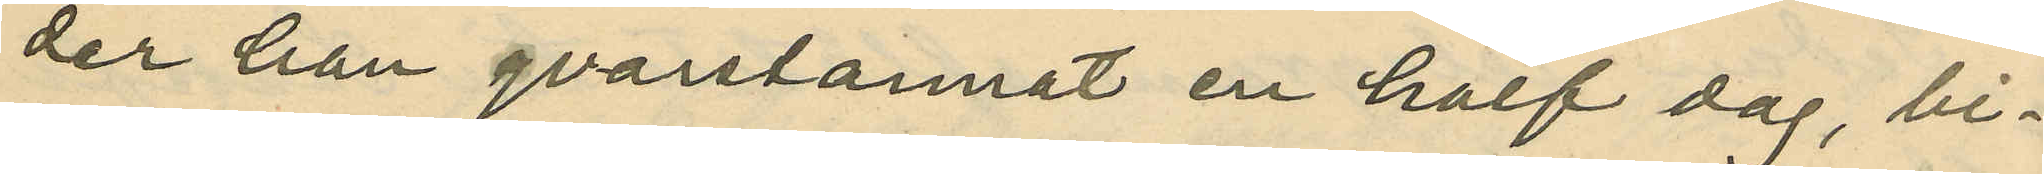der han qvarstannat en half dag, bi¬
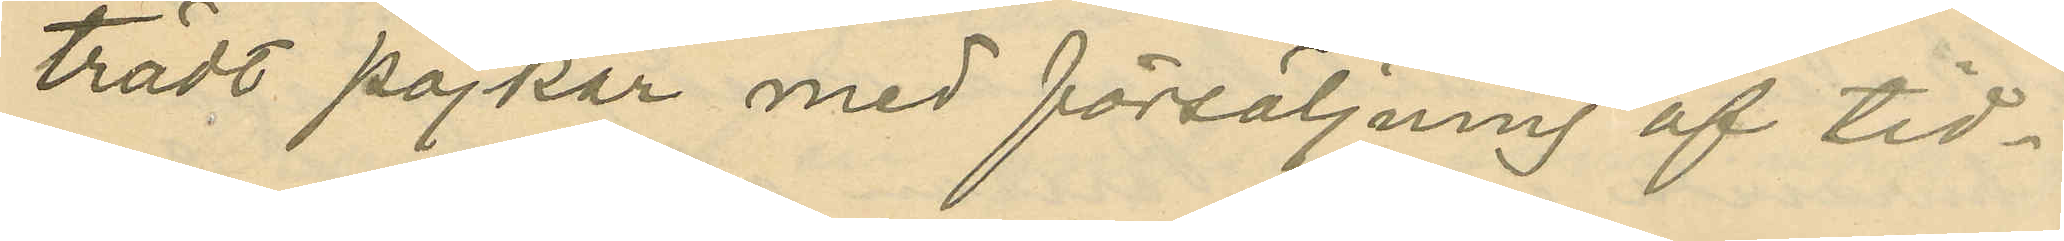trädt pojkar med försäljning af tid¬
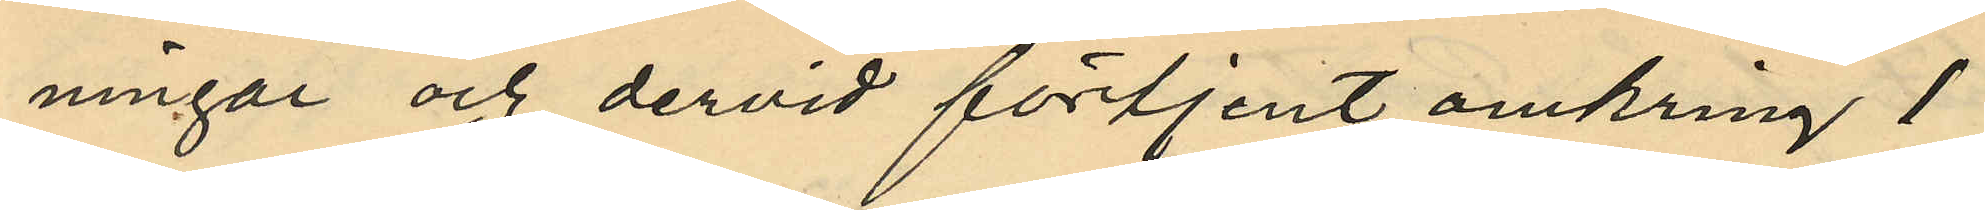ningar och dervid förtjent omkring 1
